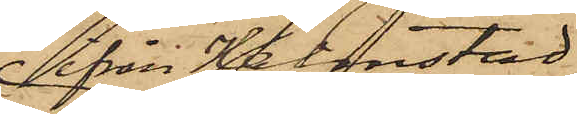ifrån Halmstad
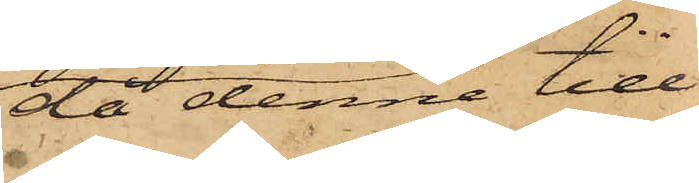då denne till
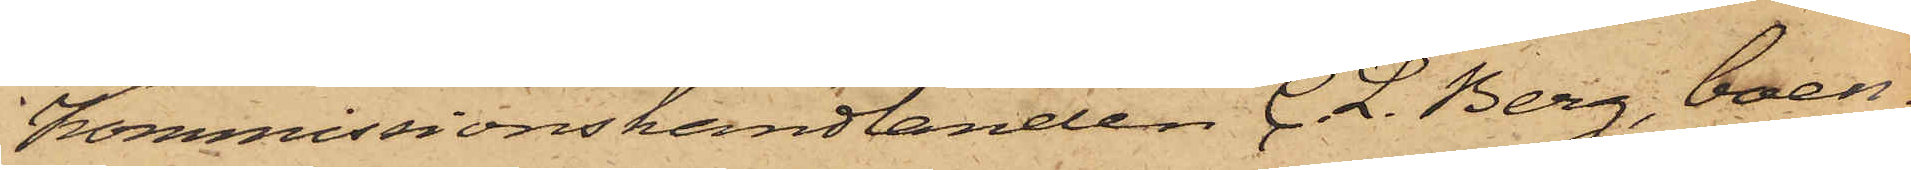Kommissionshandlanden C. L. Berg, boen¬
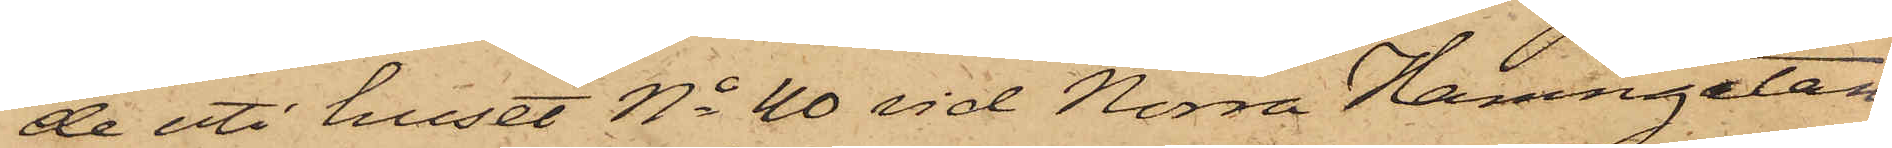de uti huset No 40 vid Norra Hamngatan,
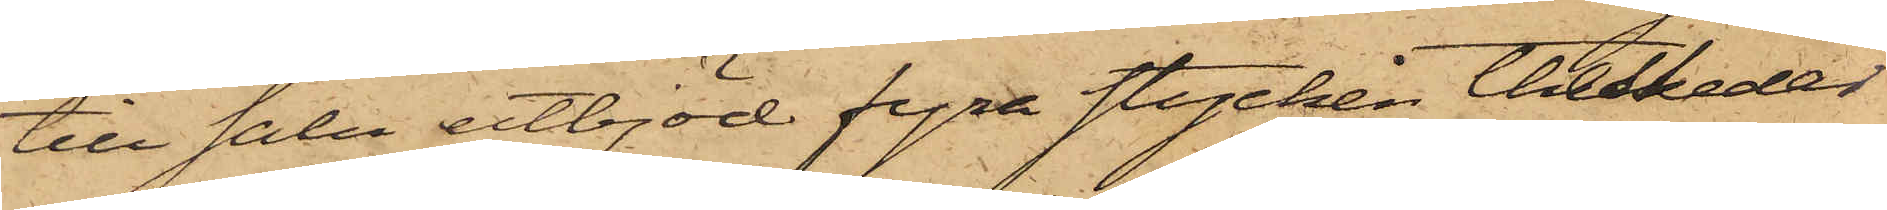till salu utbjöd fyra stycken theskedar
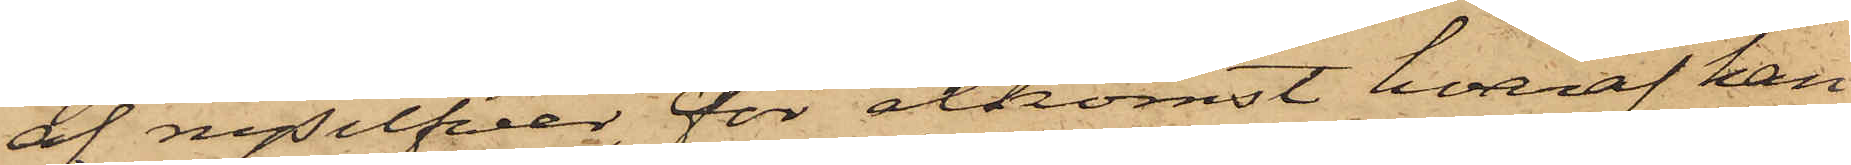af nysilfver, för åtkomst hvaraf han
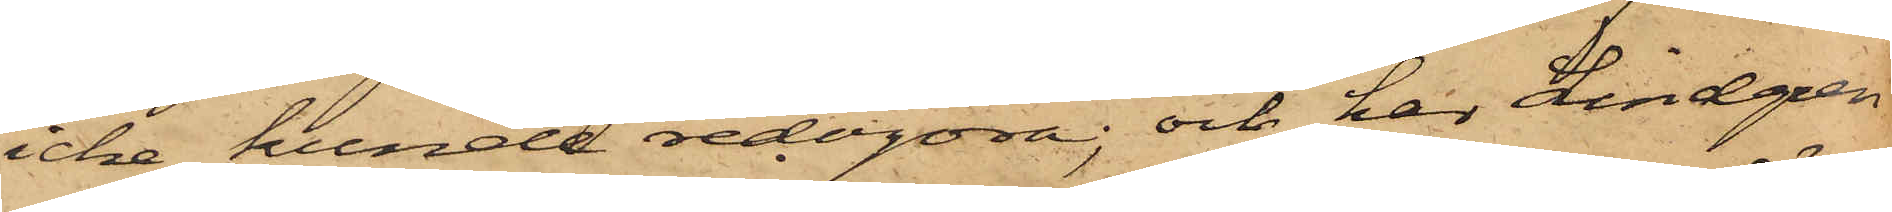icke kunde redogöra; och har Lindgren
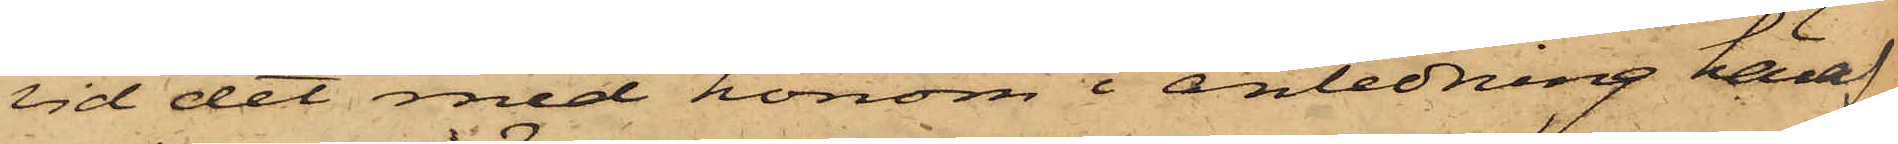vid det med honom i anledning häraf
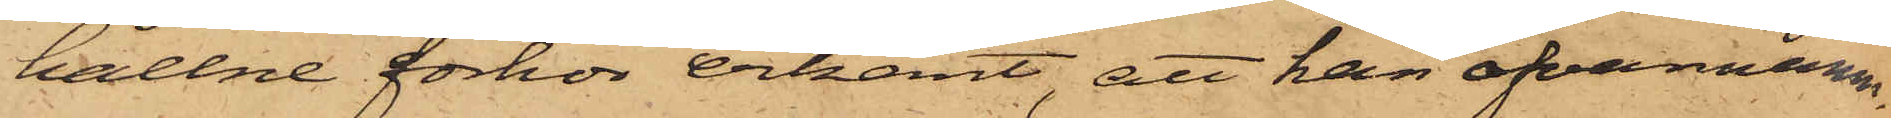hållne förhör erkänt, att han ofvannämn¬
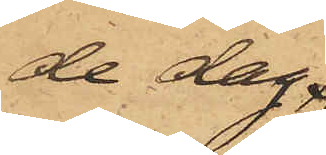de dag,
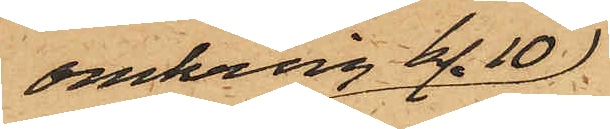omkring kl. 10
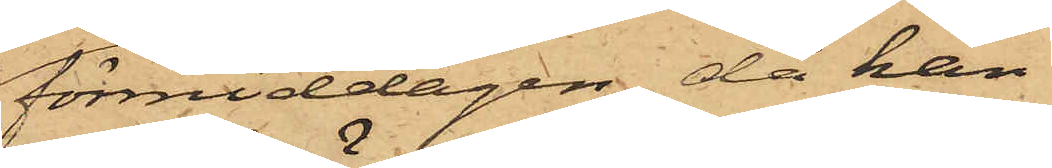förmiddagen, då han
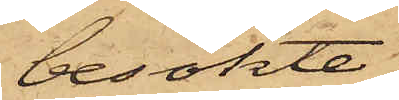besökte
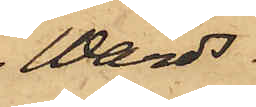Wärds¬
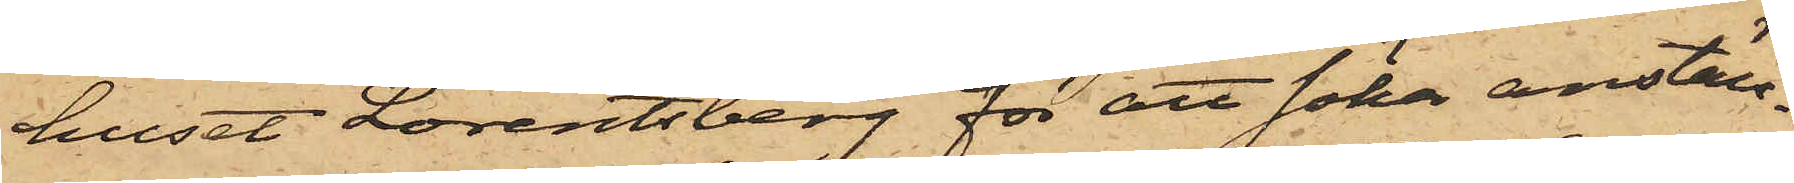huset Lorentsberg för att söka anställ¬
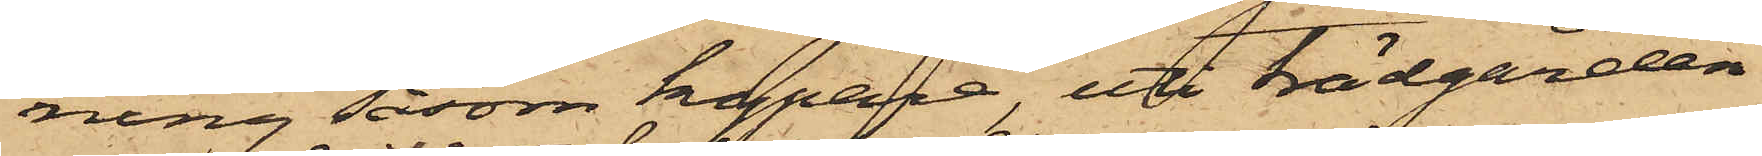ning såsom kypare, uti trädgården
